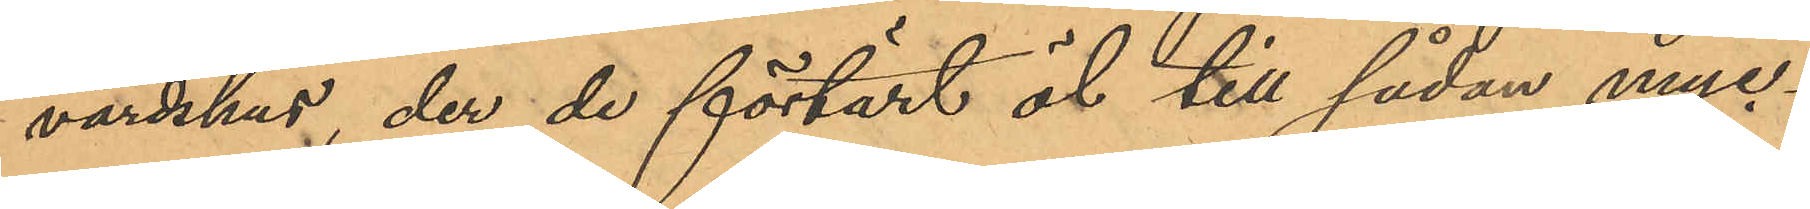värdshus, der de förtärt öl till sådan myc¬
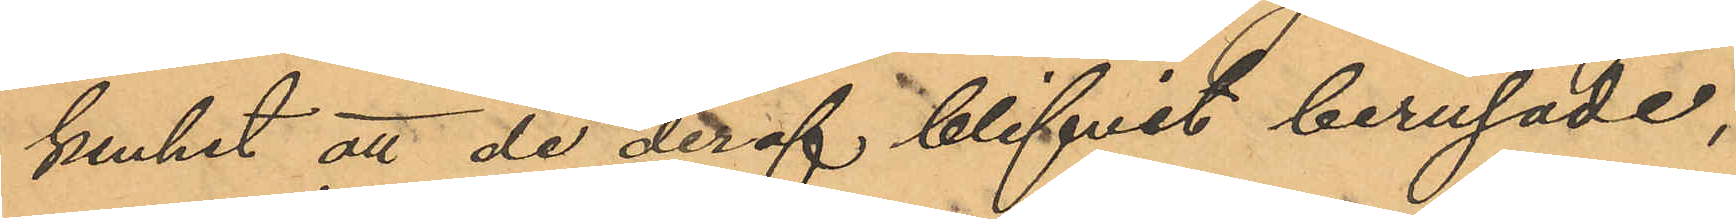kenhet att de deraf blifvit berusade,
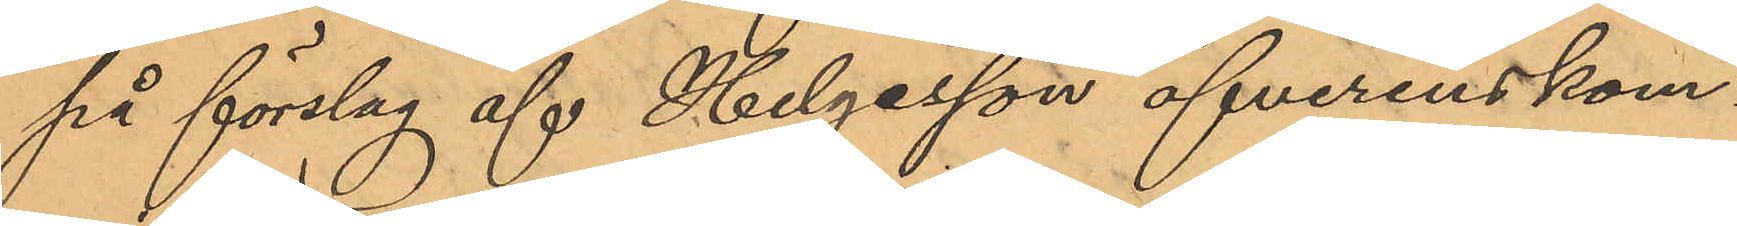på förslag af Helgesson öfverenskom¬
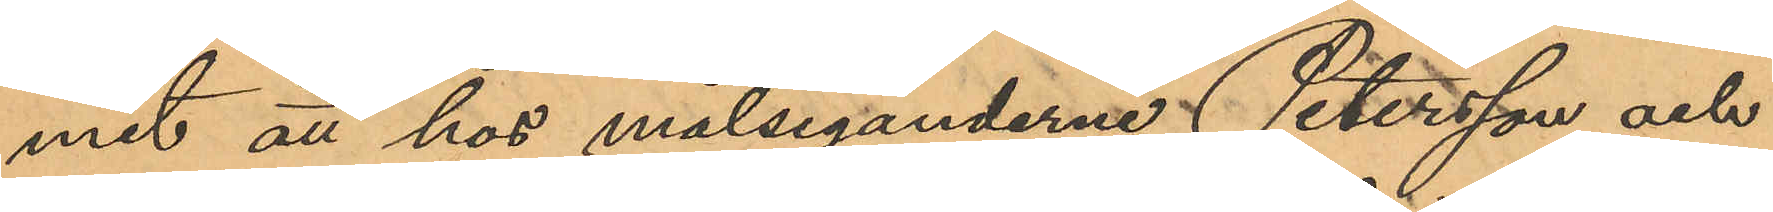mit att hos målseganderne Petersson och
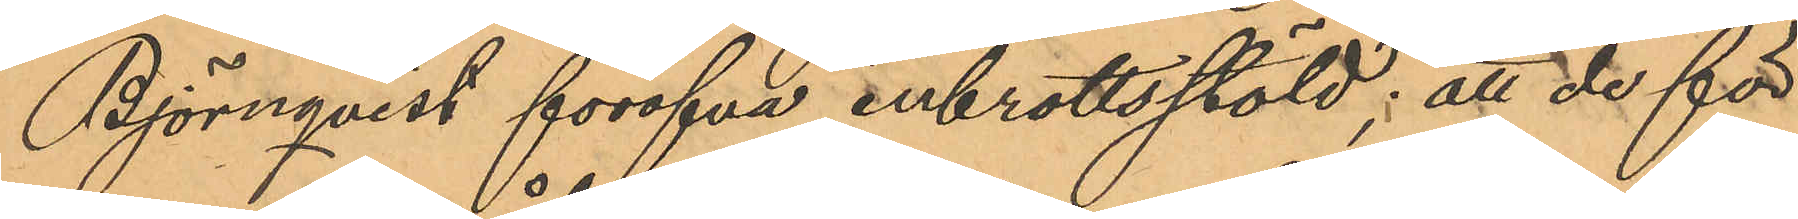Björnqvist föröfva inbrottsstöld; att de för
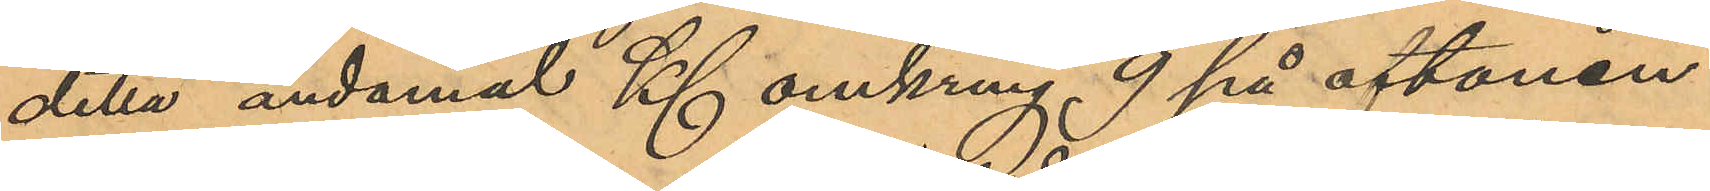detta ändamål Kl. omkring 9 på aftonen
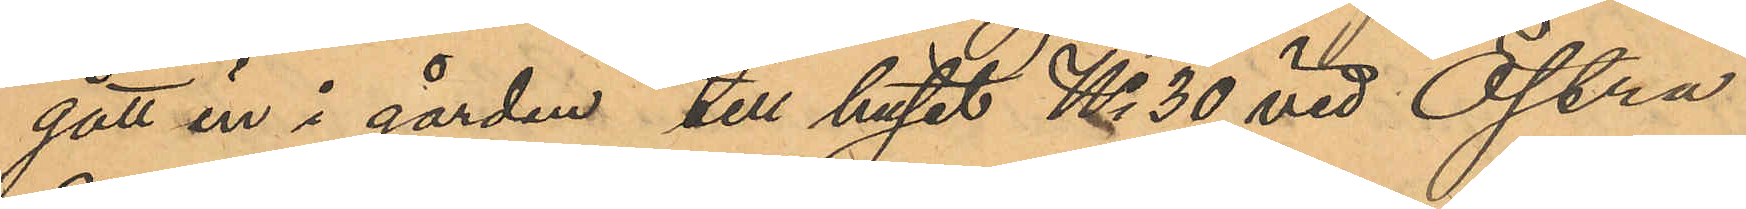gått in i gården till huset No 30 vid Östra
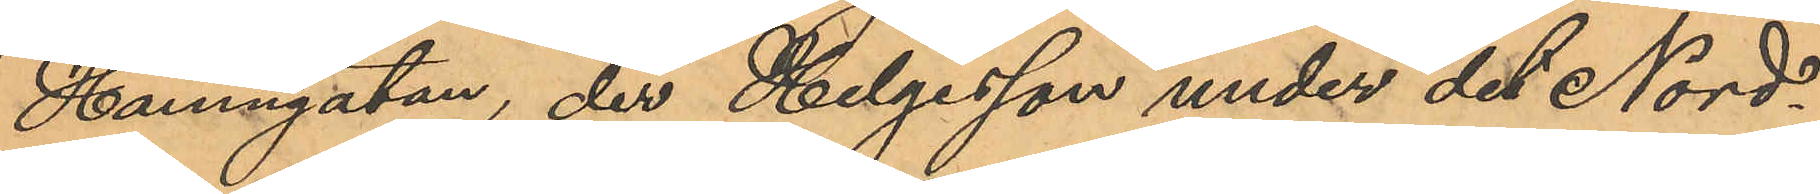Hamngatan, der Helgesson under det Nord¬
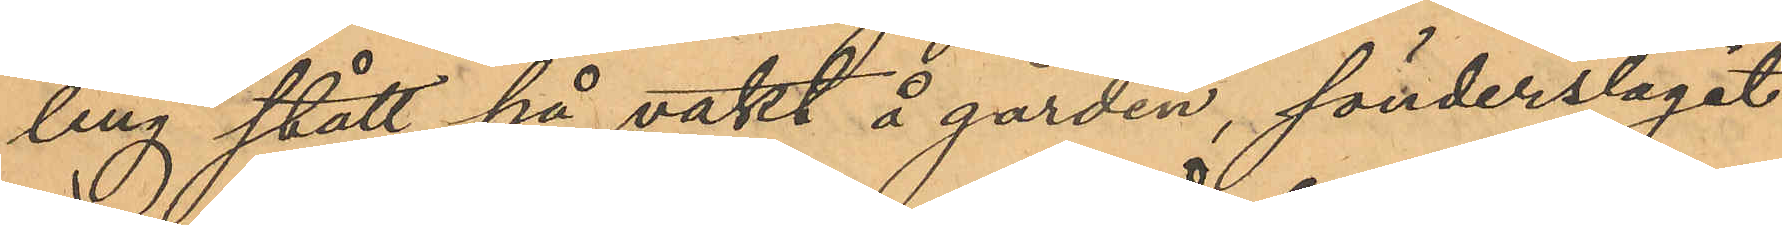ling stått på vakt å gården, sönderslagit
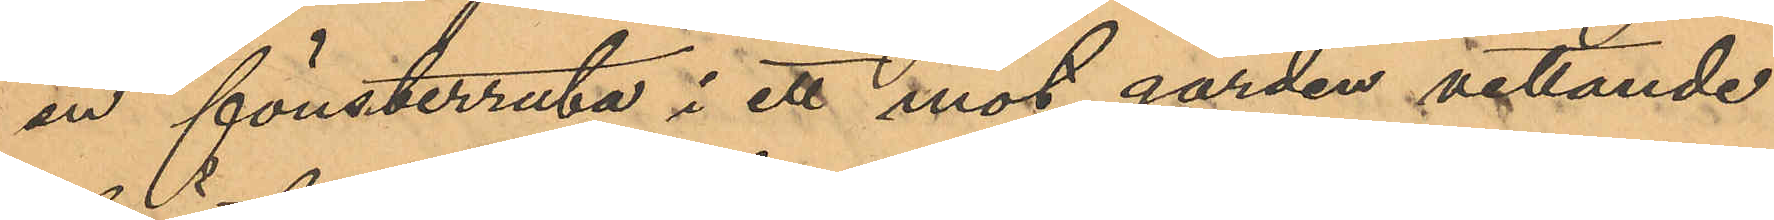en fönsterruta i ett mot gården vettande
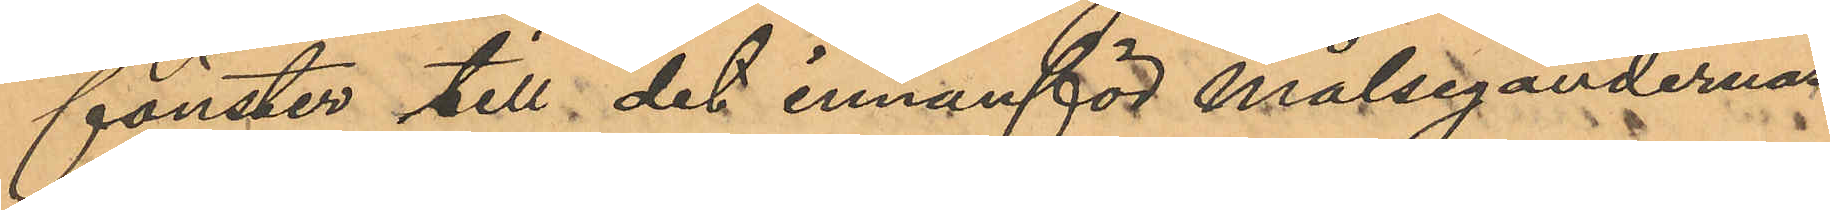fönster till det innanför Målsegandernas
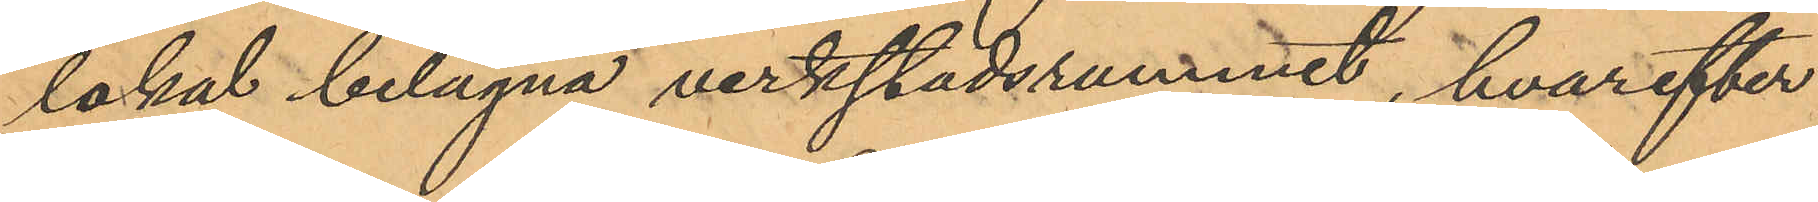lokal belägna verkstadsrummet, hvarefter
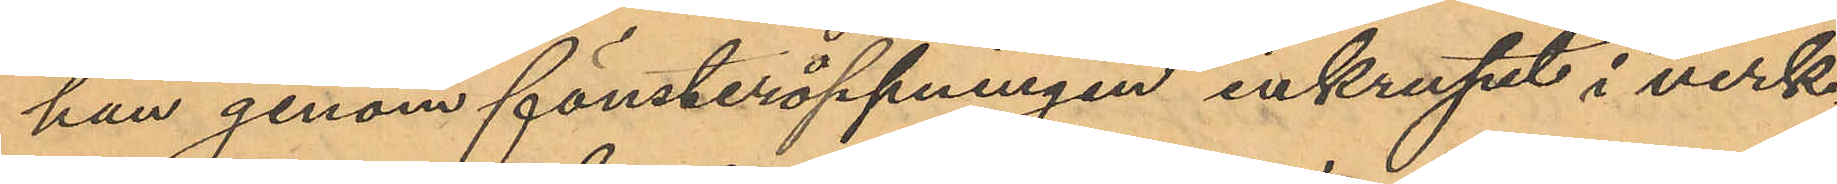han genom fönsteröppningen inkrupit i verk¬
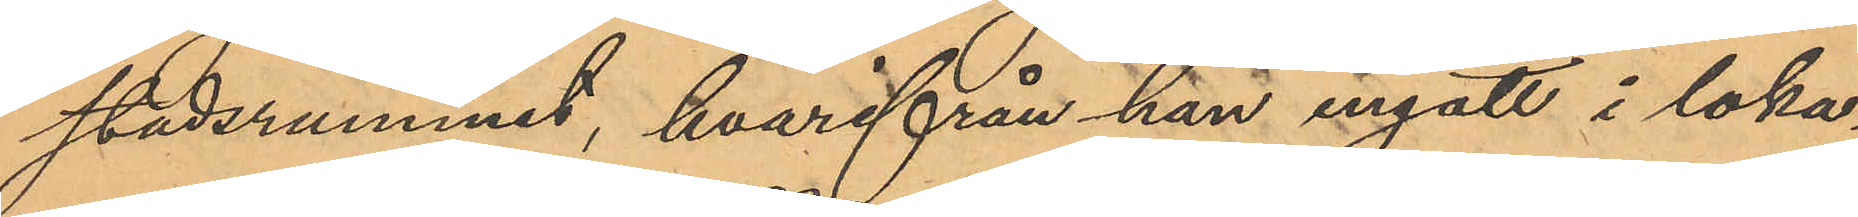stadsrummet, hvarifrån han ingått i loka¬
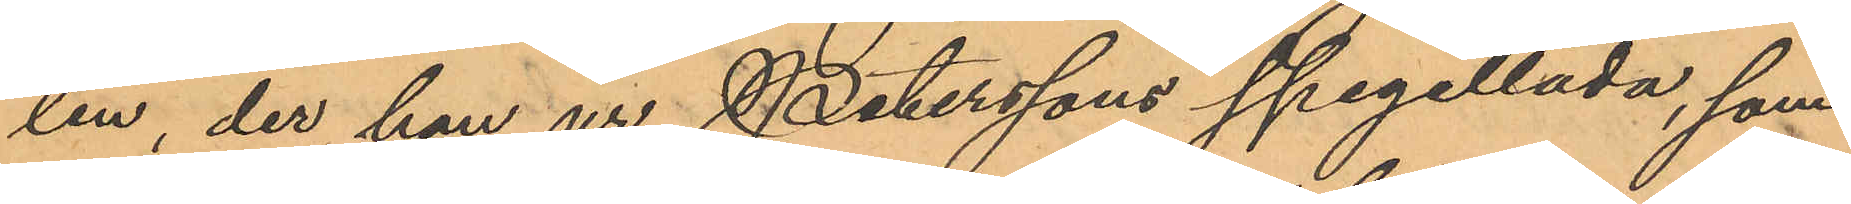len, der han ur Peterssons spegellåda, som
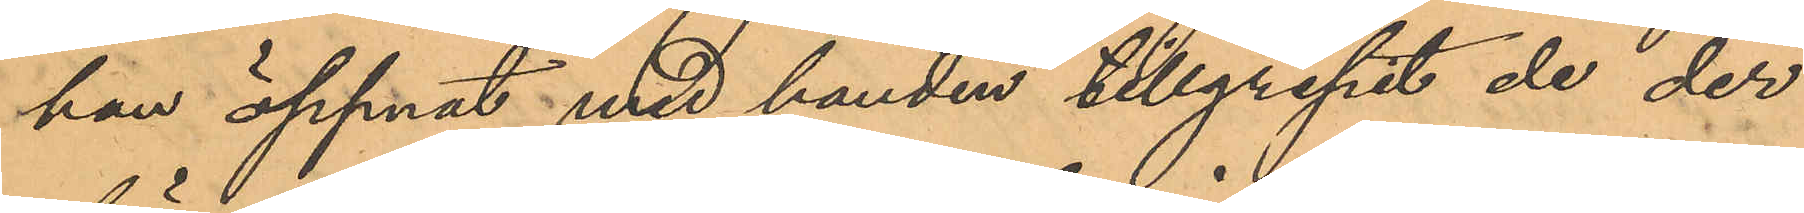han öppnat med handen tillgripit de der
